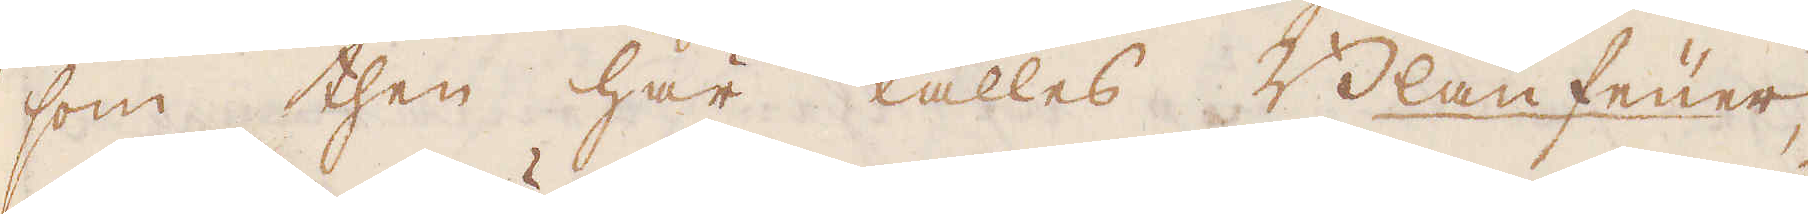som then här kallas Blaufeüer,
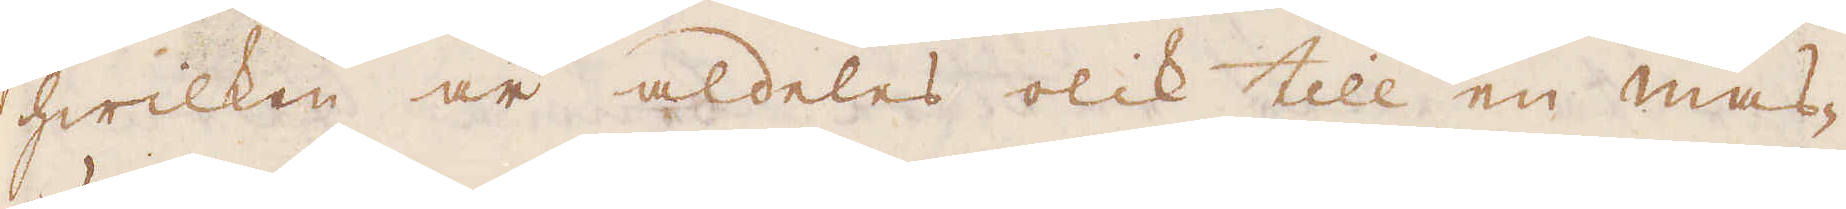hwilken är aldeles olik till en mas-
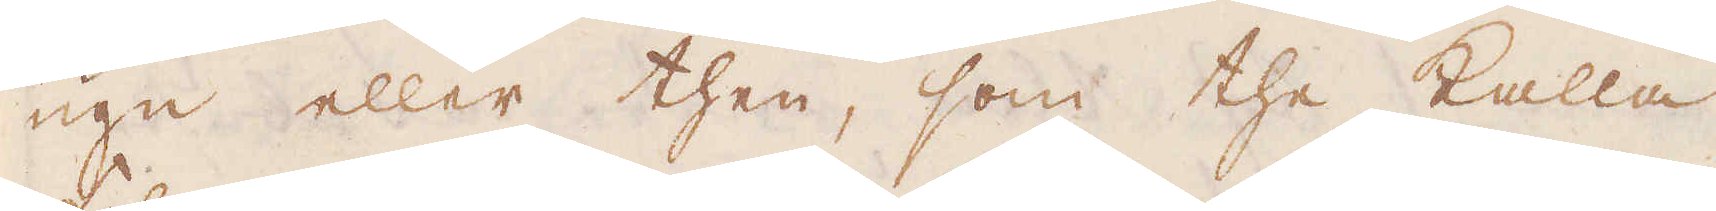ugn eller then, som the kalla
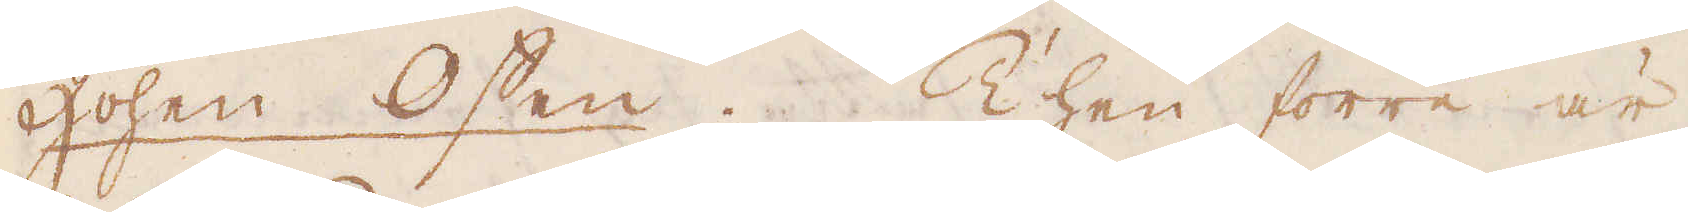Hohen Offen. Then förre är
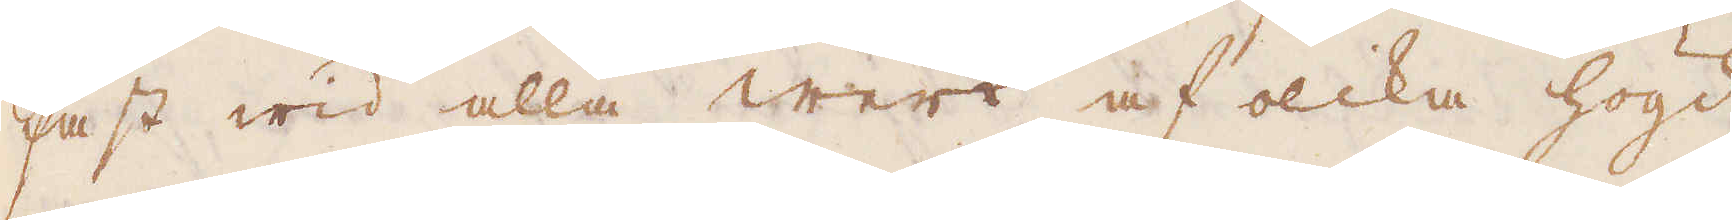fast wid alla werk af olika högd
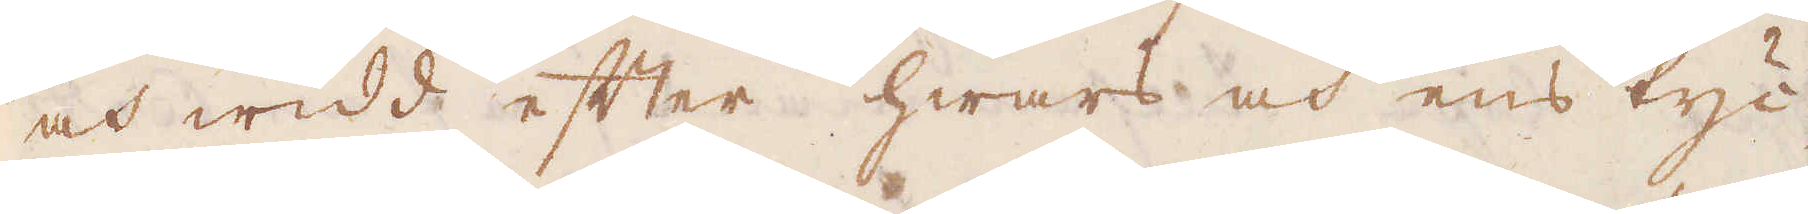och widd efter hwars och ens tyc-
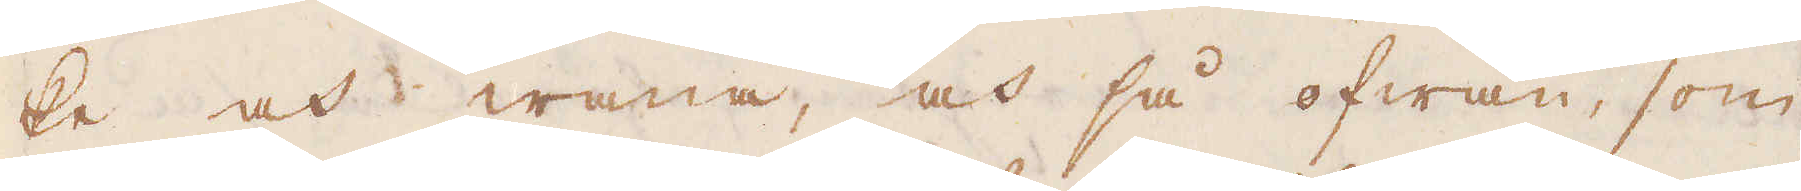ke och wana, at så ofwan, som
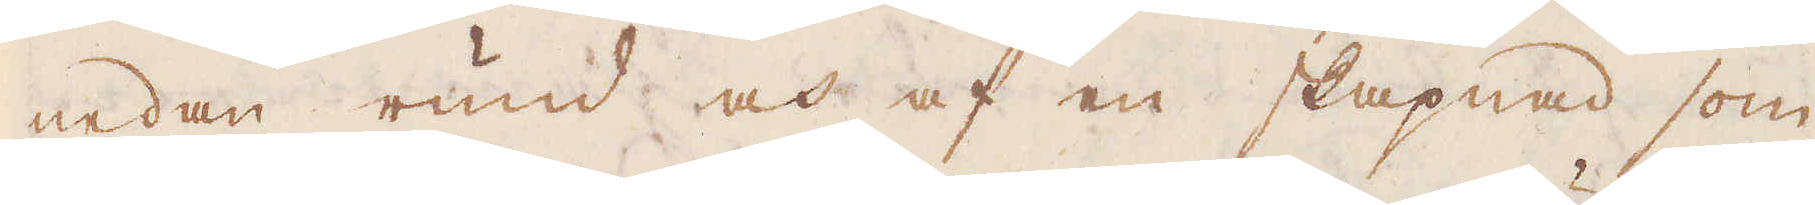nedan rund och af en skapnad som
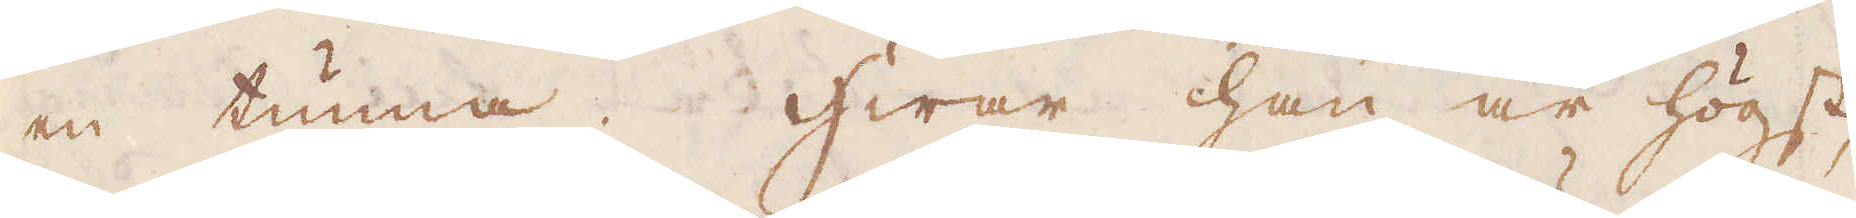en tunna. Hwar han är högst
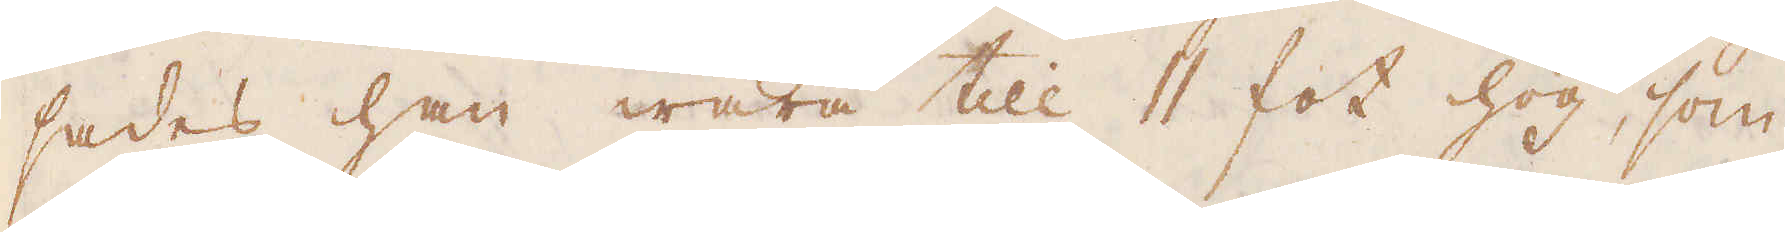sades han wara till 11 fot hög, som
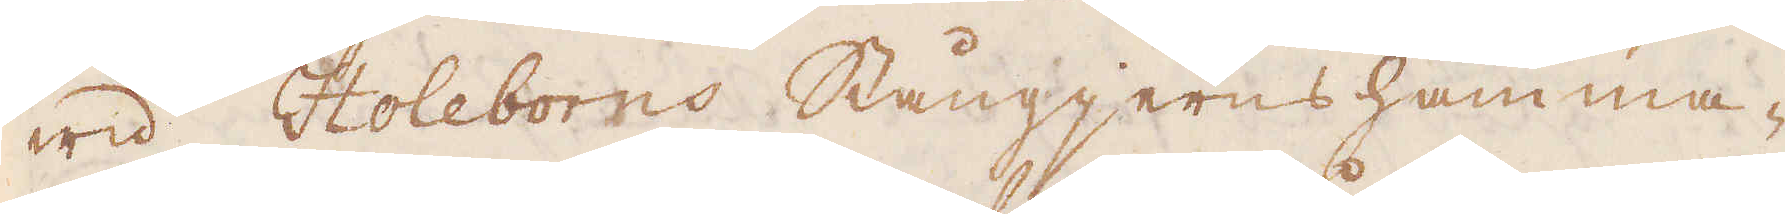wid Hollborns Stångjerns hamma-
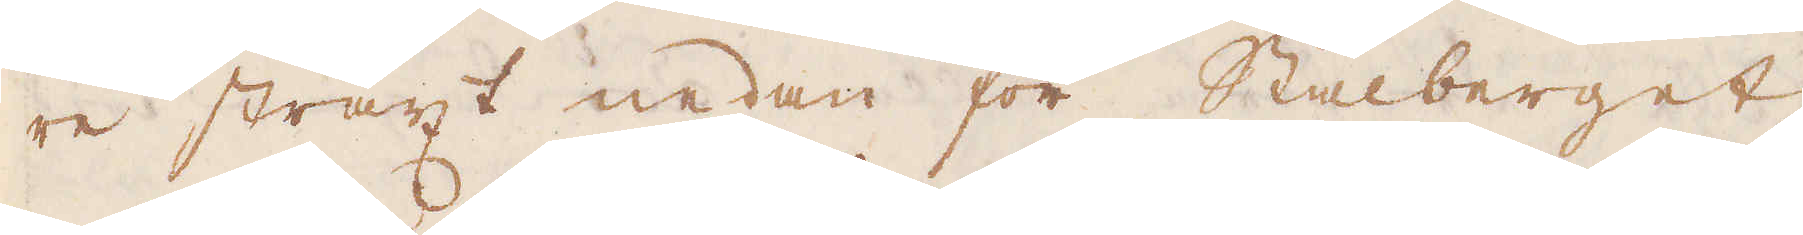re straxt nedan för Stålberget,
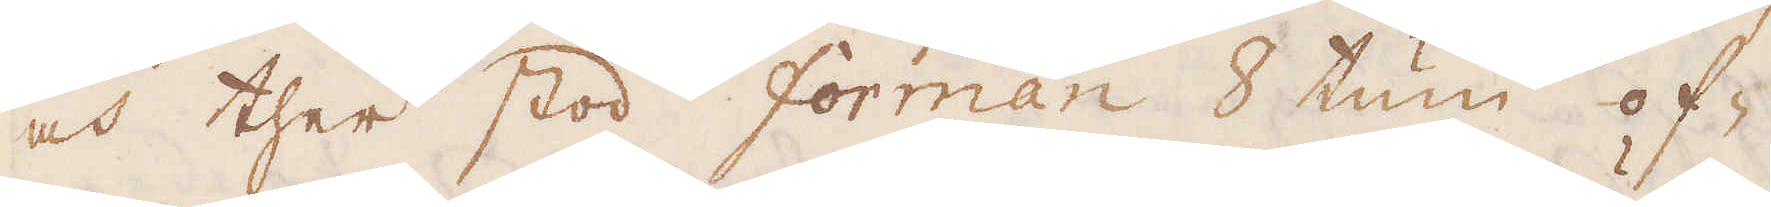och ther stod Forman 8 tum of-
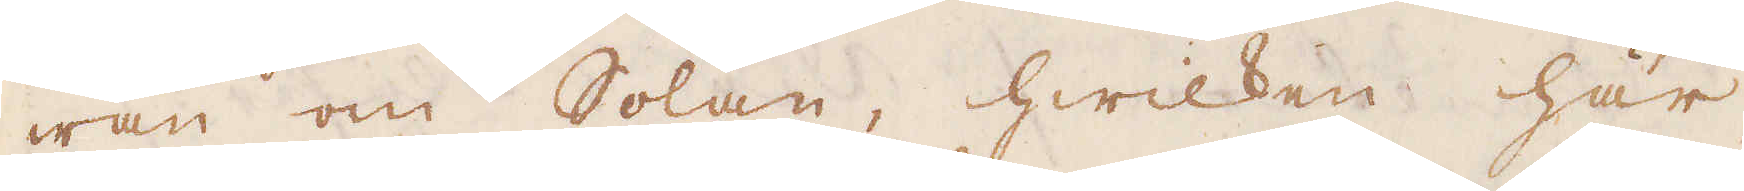wan om Solan, hwilken här
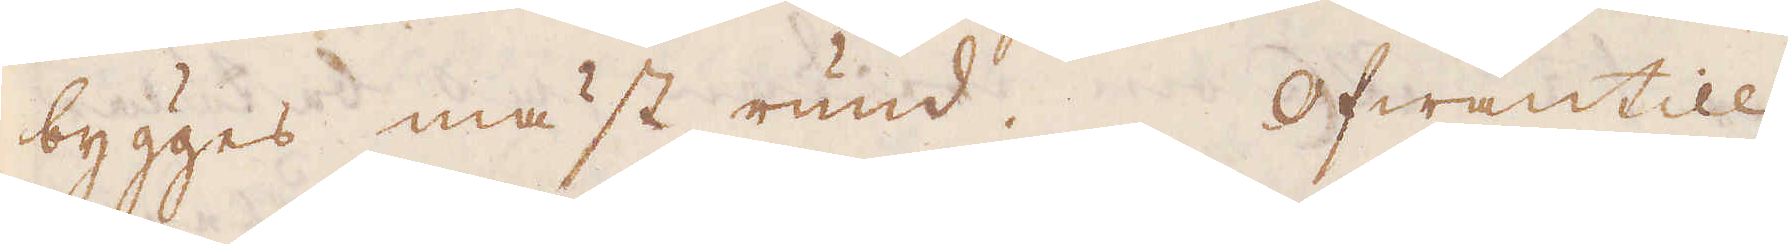bygges mäst rund. Ofwantill
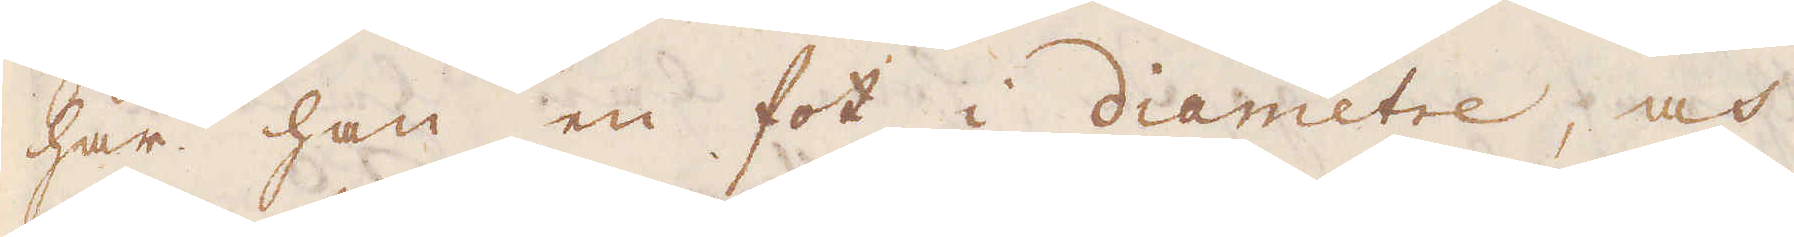har han en fot i diametre, och
